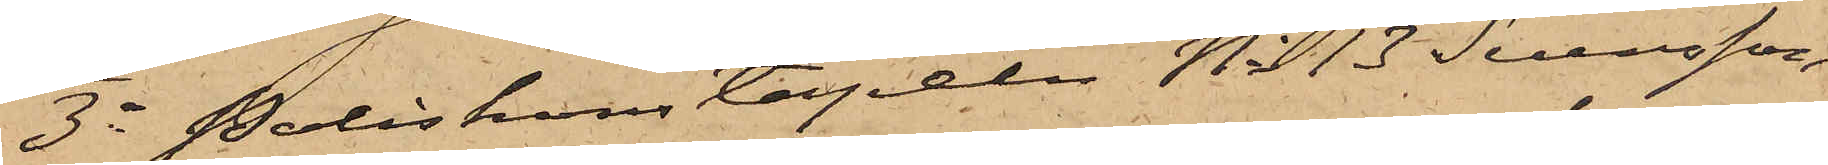3o Poliskonstapeln No 13 Svensson,
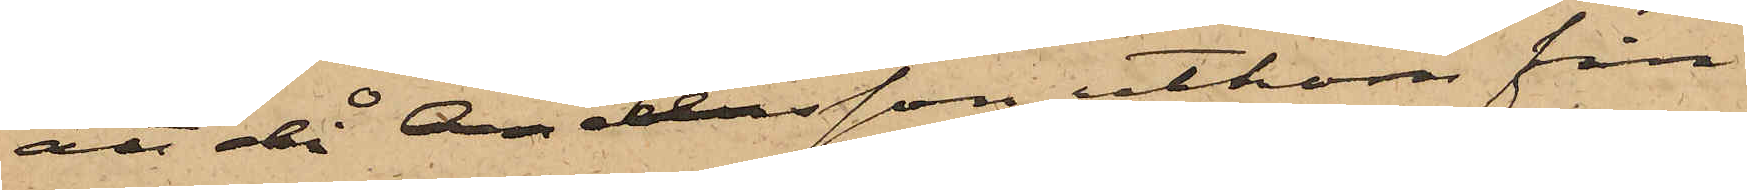att då Andersson utkom från
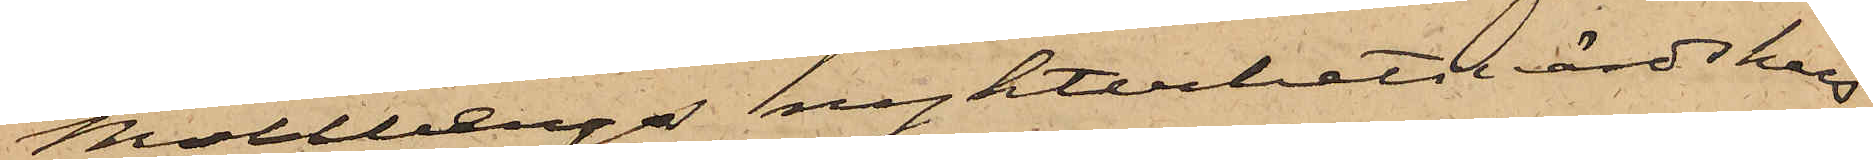Mollbergs nykterhetsvärdshus
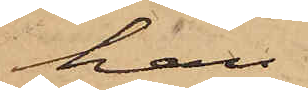han
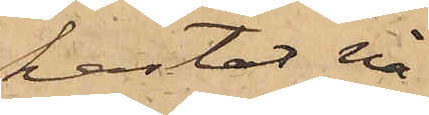kastat nå¬
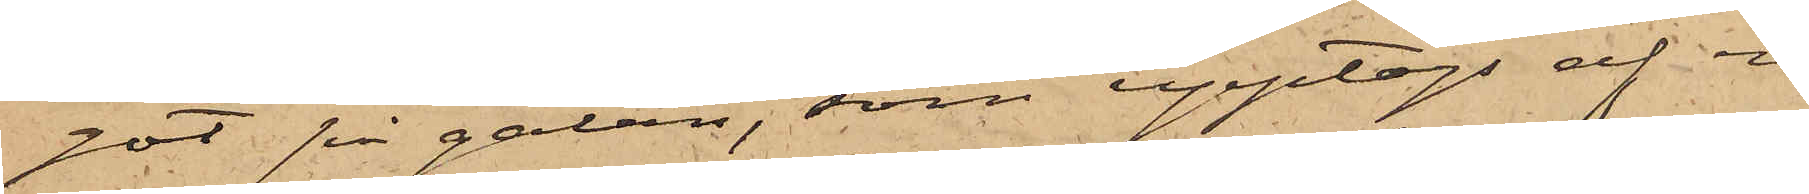got på gatan, som upptogs af en
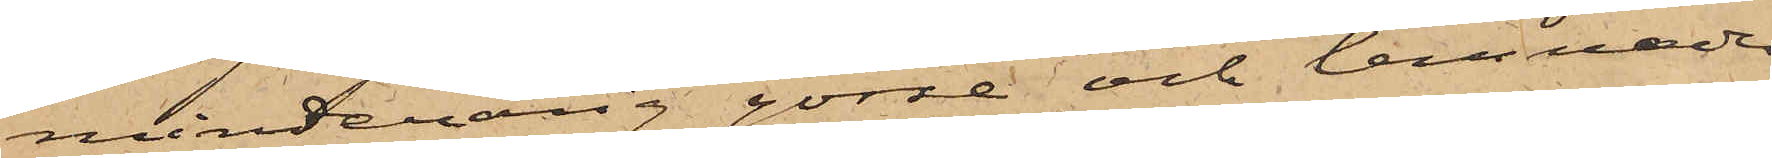minderårig gosse och lemnades
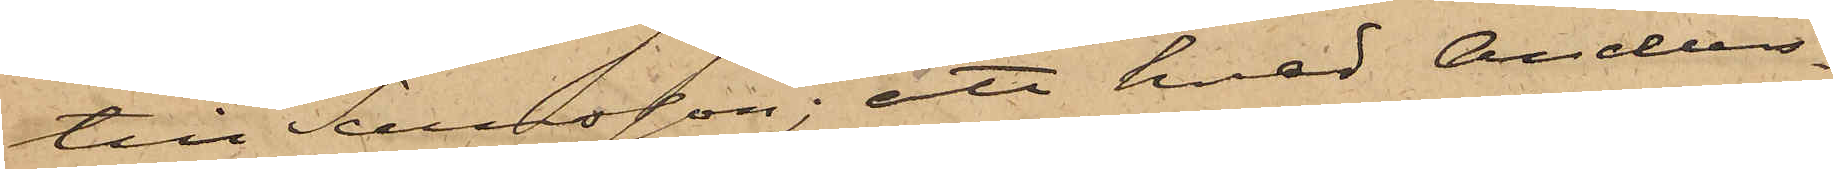till Svensson; att hvad Anders¬
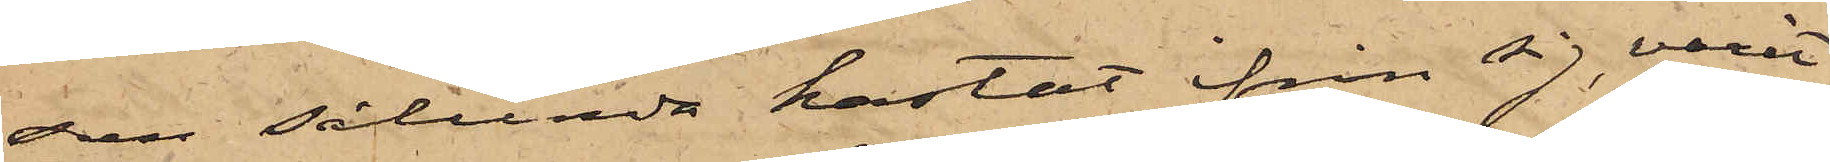son sålunda kastat ifrån sig varit
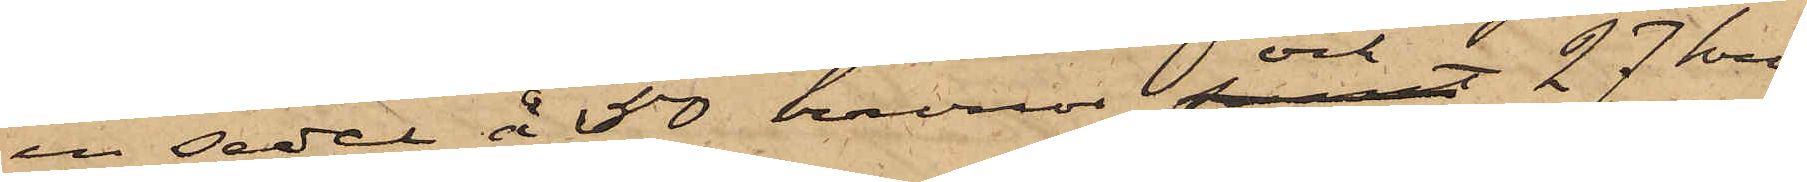en sedel å 50 kronor och 27 kro¬
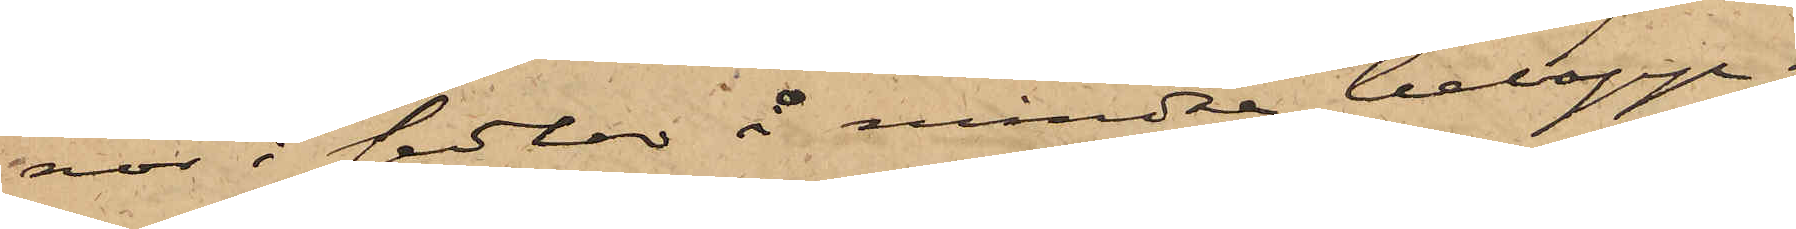nor i sedlar å mindre belopp;
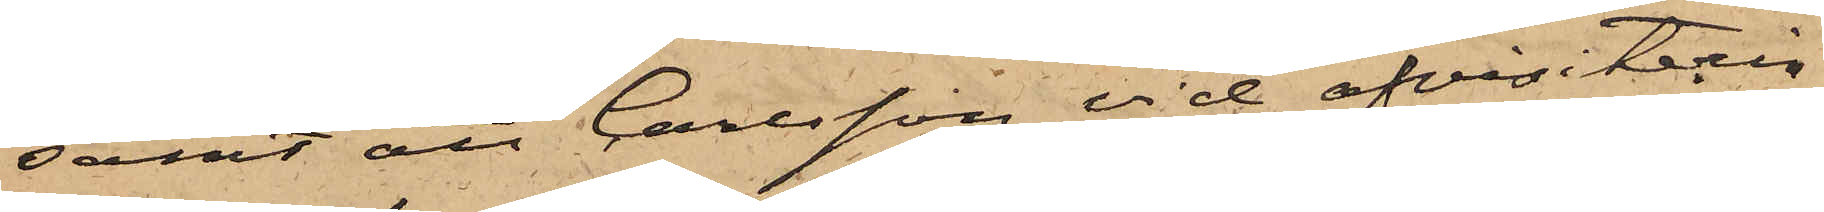samt att Carlsson vid afvisiterin¬
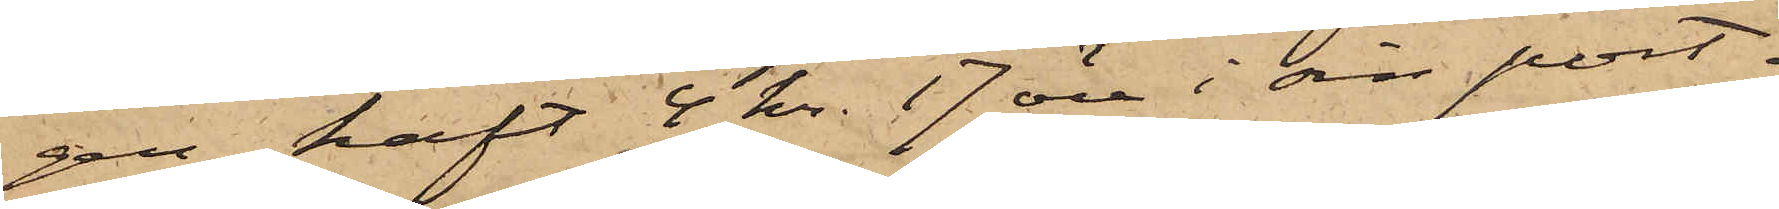gen haft 4 kr. 17 öre i en port¬
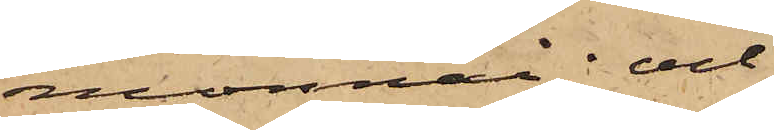monnai och
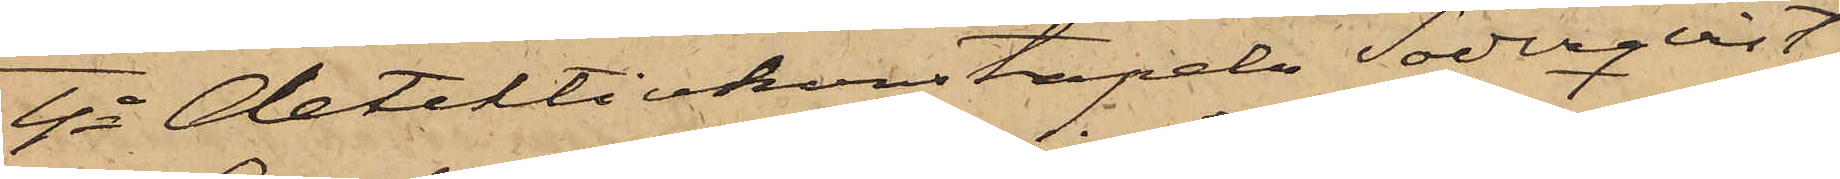4o Detektivkonstapeln Söderqvist,
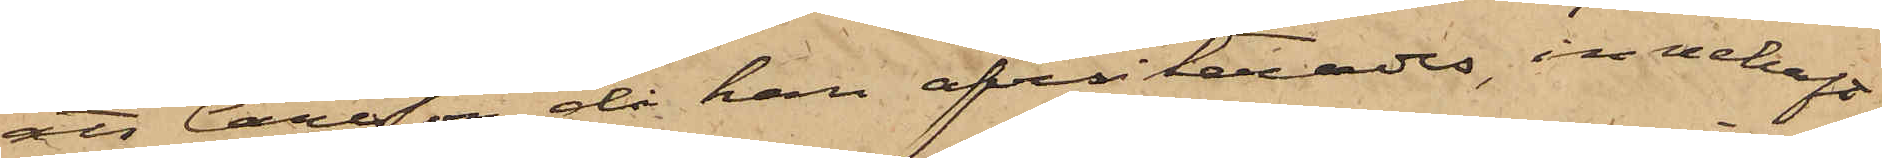att Carlsson då han afvisterades, innehaft
